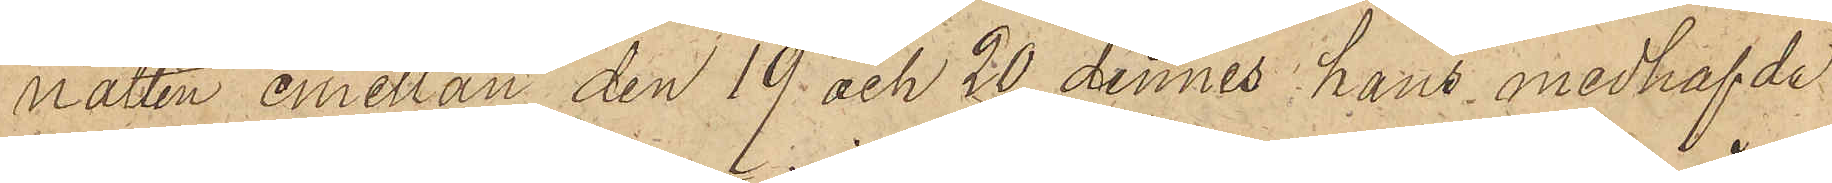natten emellan den 19 och 20 dennes hans medhafvde
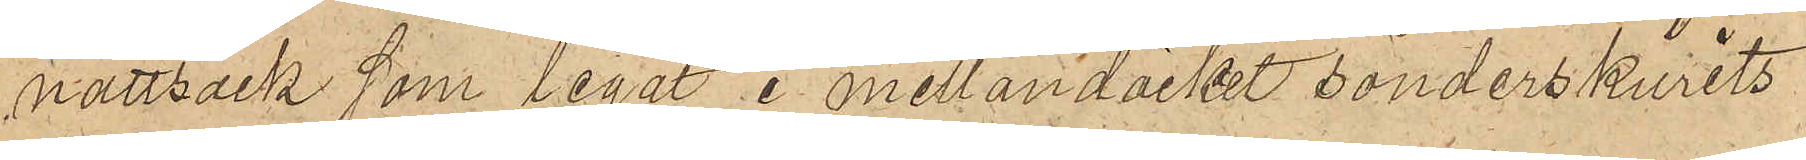nattsäck som legat i mellandäcket sönderskurits
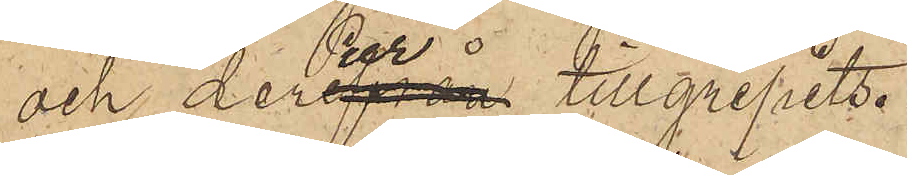och derur tillgripits.
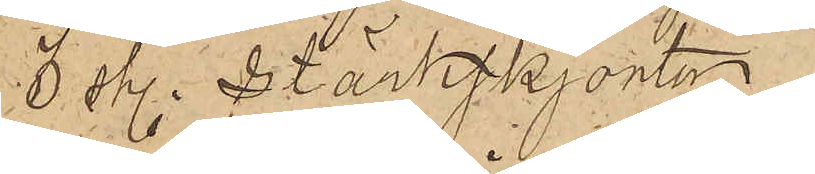3 sty. stärkskjortor
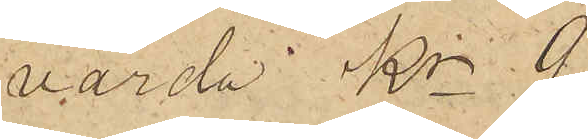värda kr  9
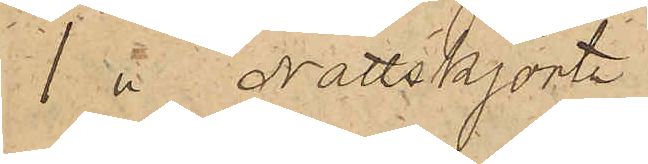1  Nattskjorta
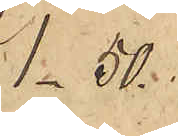1.50
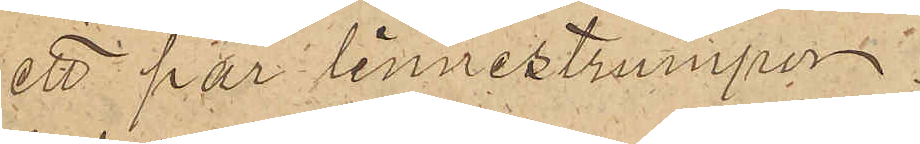ett par linnestrumpor
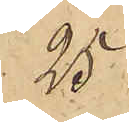.25
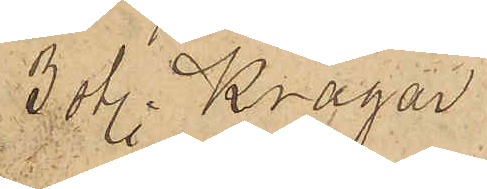3 sty. Kragar
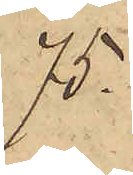.75
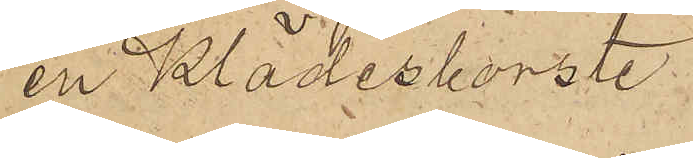en klädesborste.
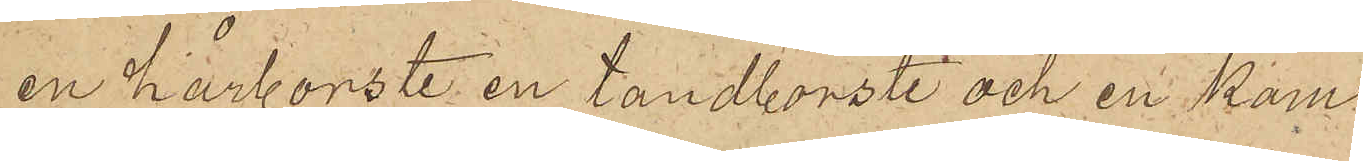en hårborste en tandborste och en kam
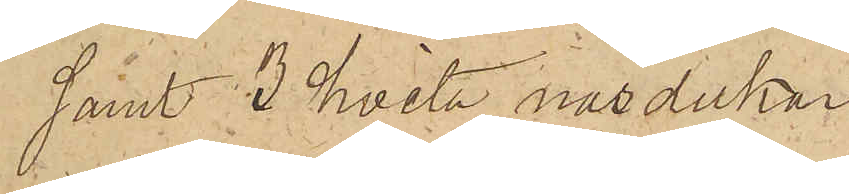samt 3 hvita näsdukar
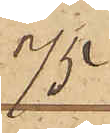.75
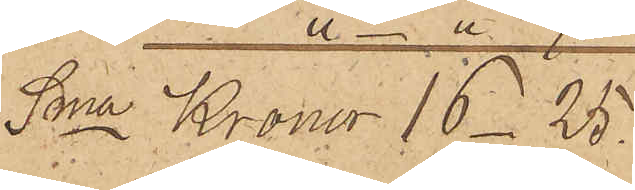 Sma Kronor 16_25
